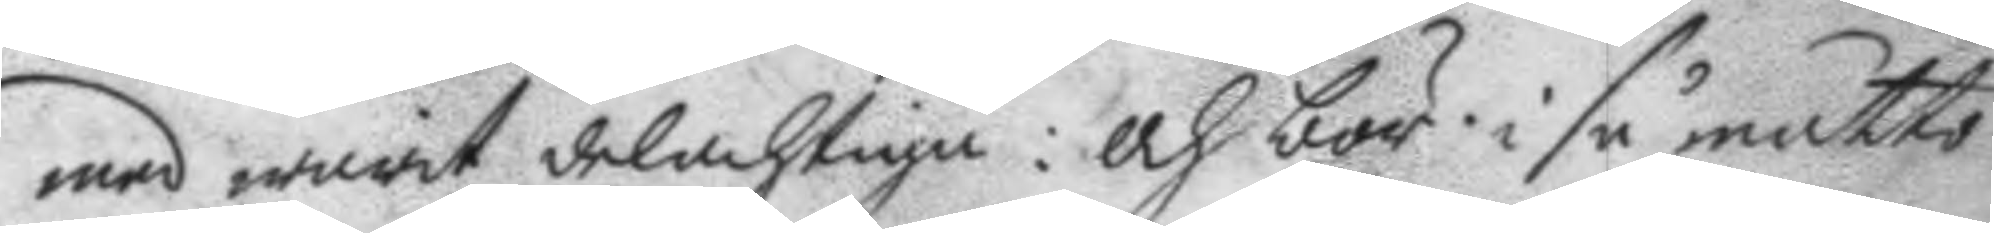med warit delachtiga: och bör i så måtto
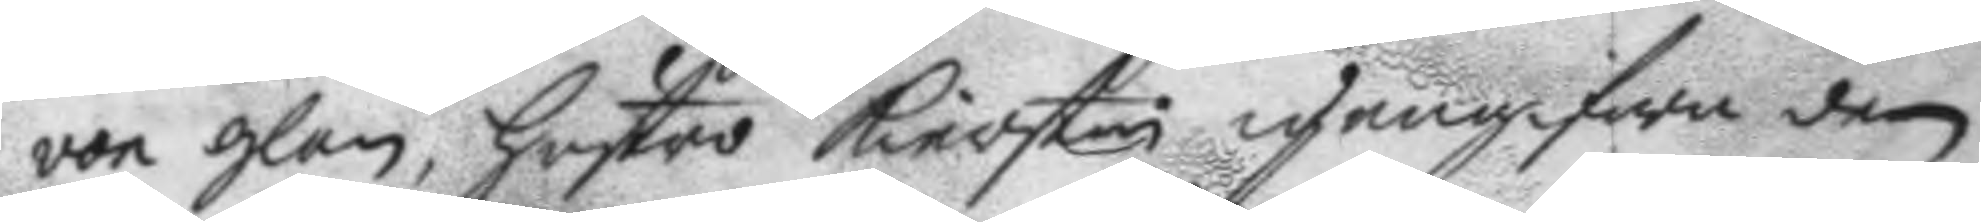von glan, hustro Kierstin igengifwa den
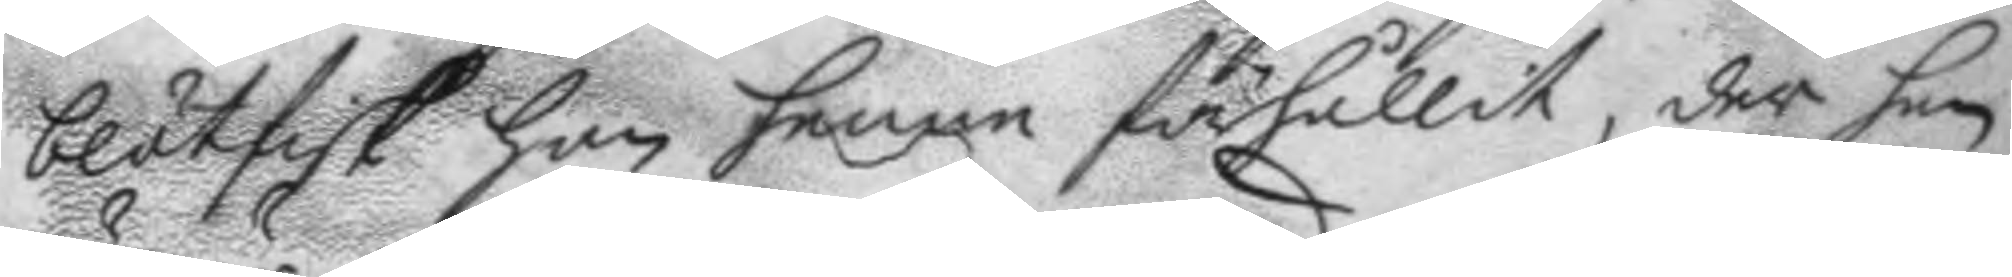blötfisk hon henne förhållit, der hon
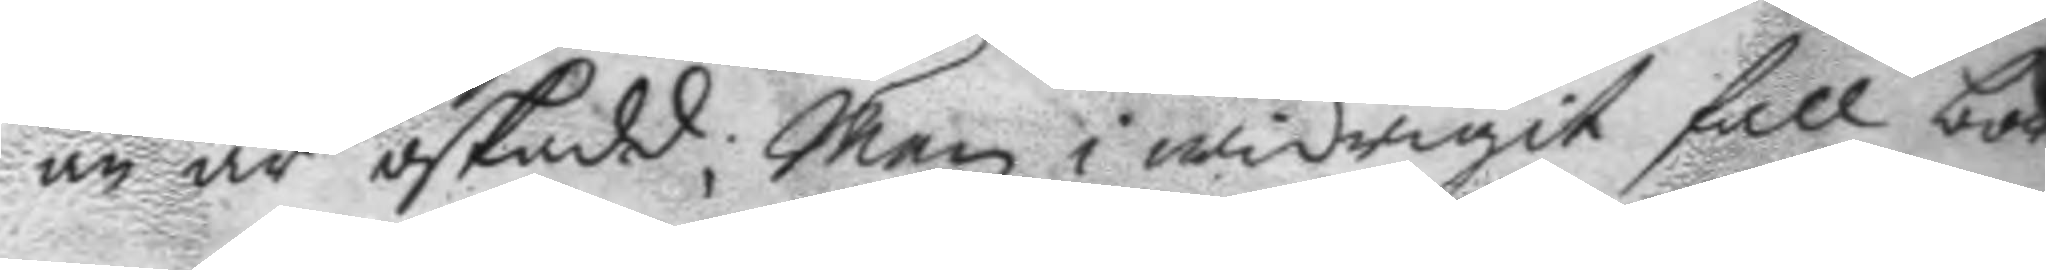nu är oskadd; men i widrigit fall bör
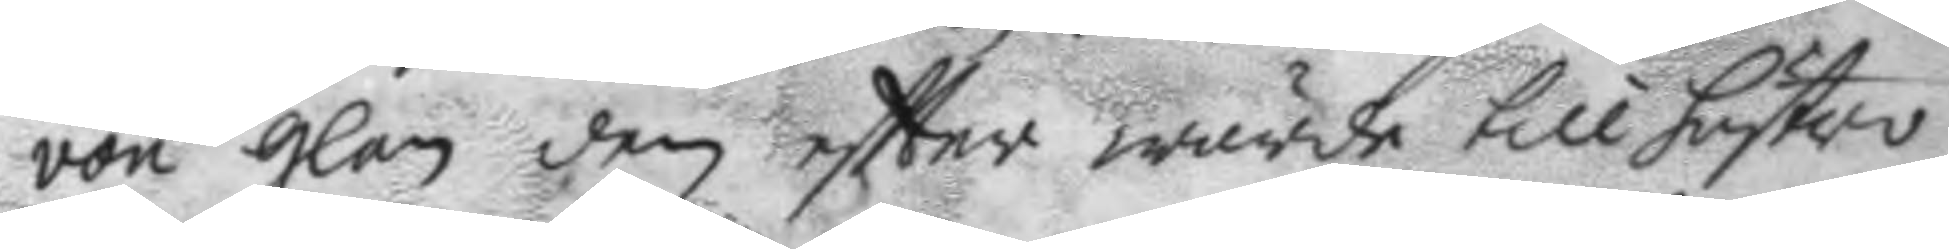von glan den eftter wärde till hustro
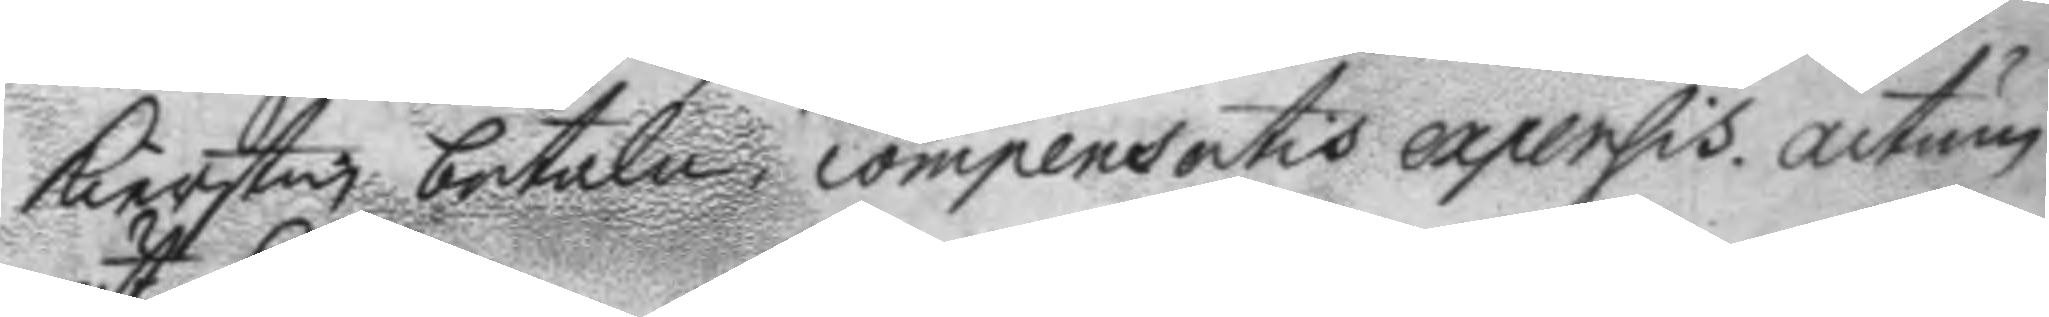Kierstin betala, compensentis expersis. actum
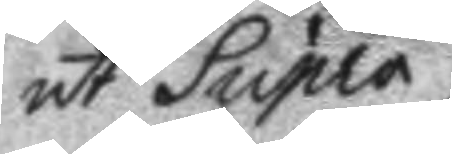ut Supra.
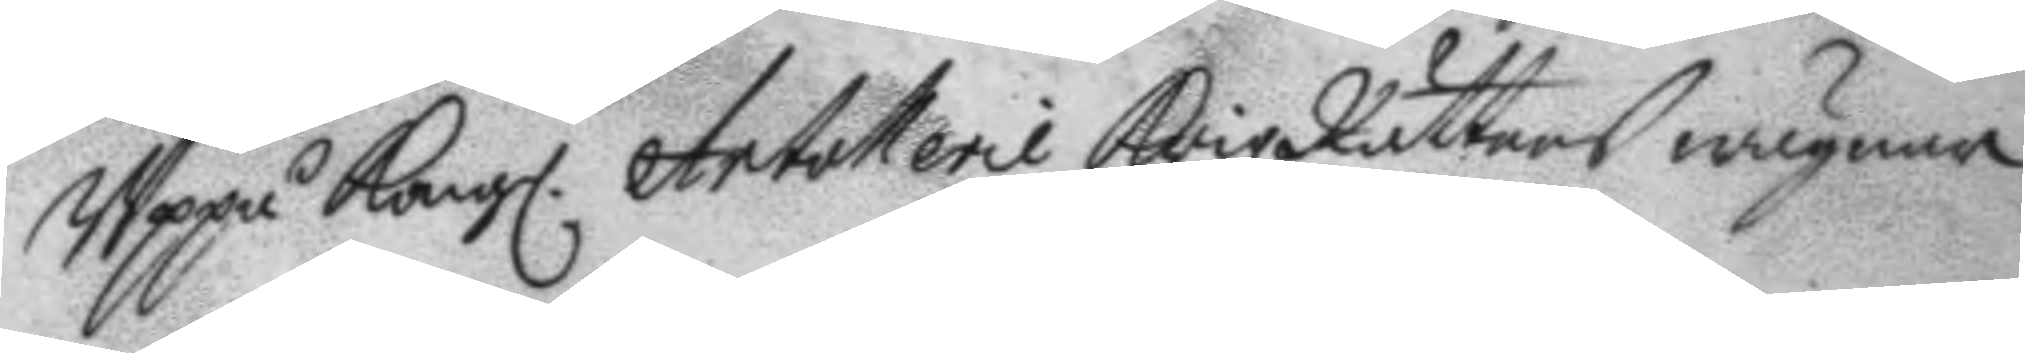Uppå Kongl. Artollerie Krigz Rättens wägnar
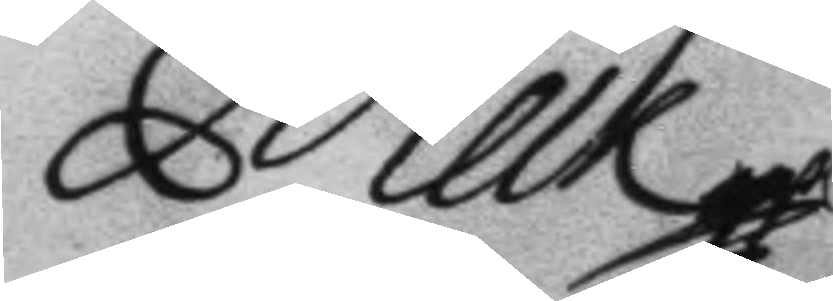Melk
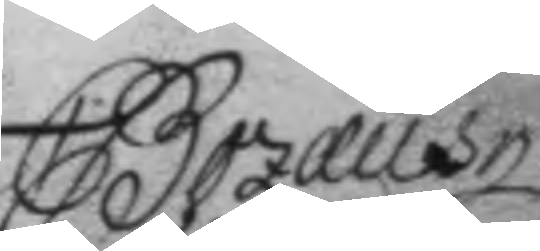C Bozæus
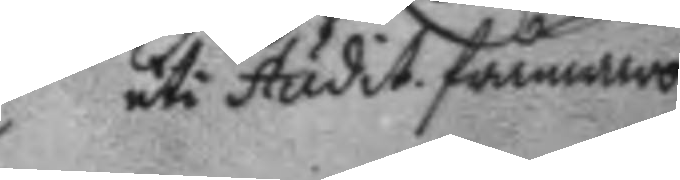uti Audit. frånwaro
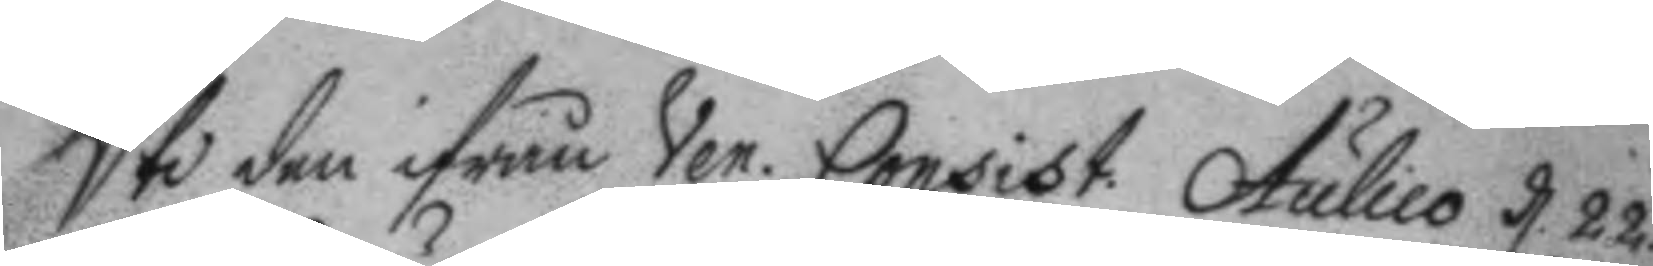Uti den ifrån Ven. Consist. Aulico d. 22. 
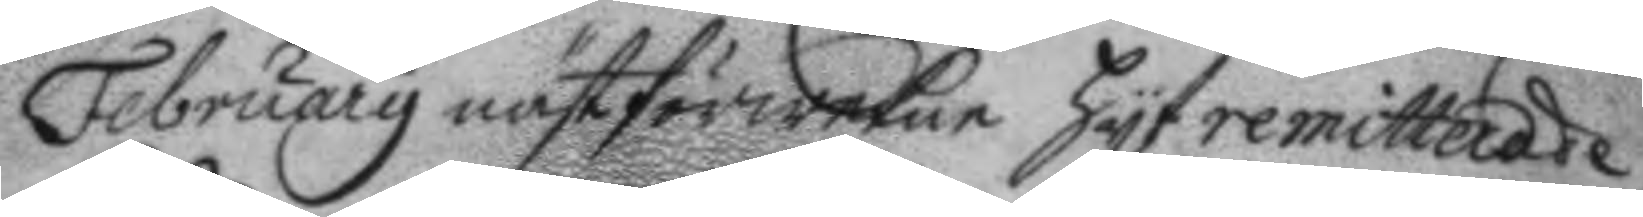February nästförwekne hyt remitterade
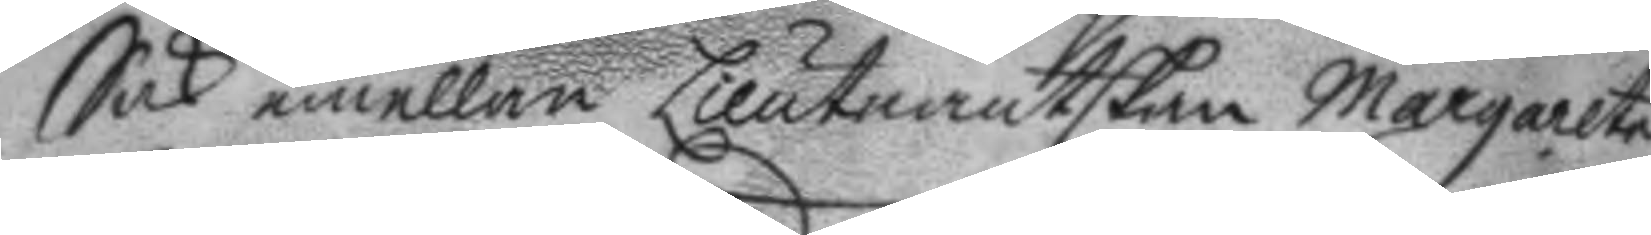Sak emellan Lieutnantskan Margarete
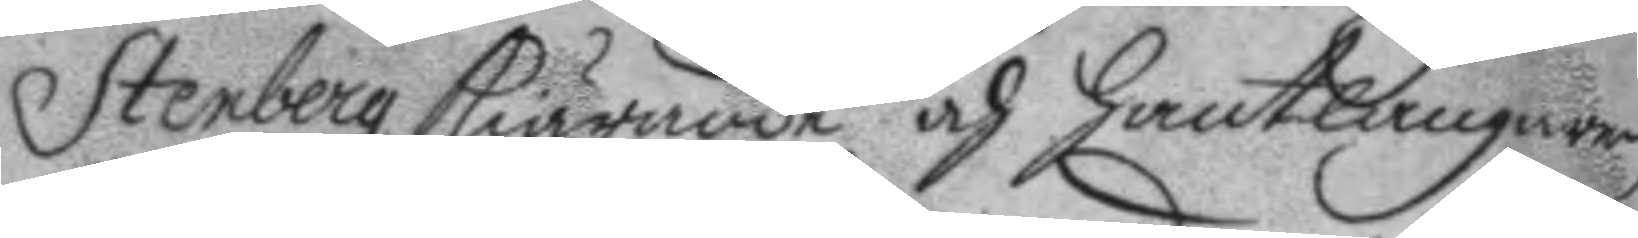Stenberg kiärande och hantlangaren
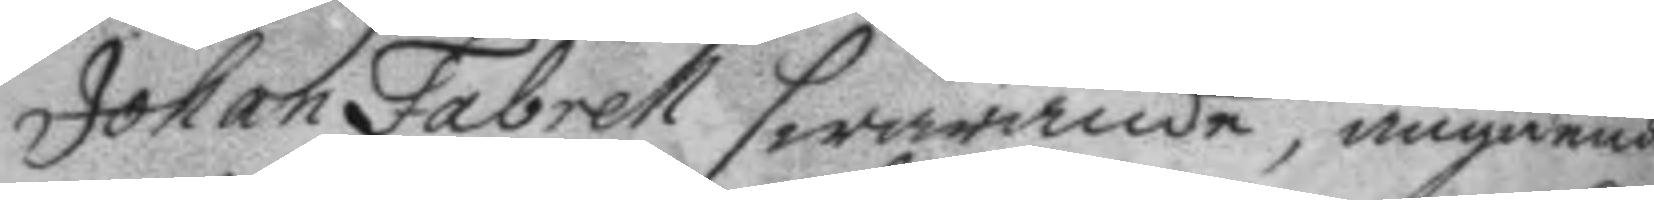Johan Fabrell swarande, angående
